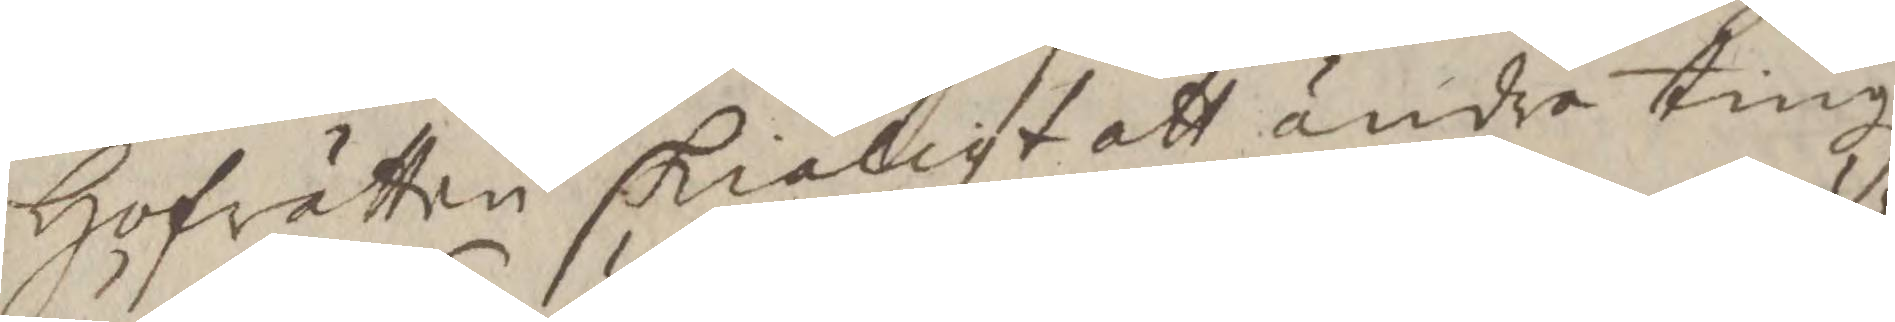Hogrätten skiäligt att ändra tingz¬
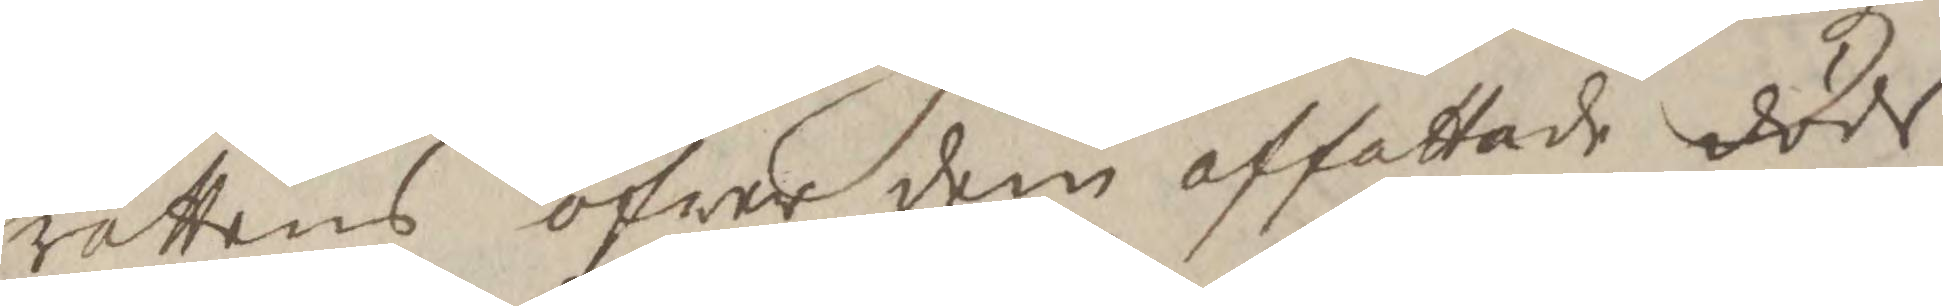rättens öfwer dem affattade döds¬
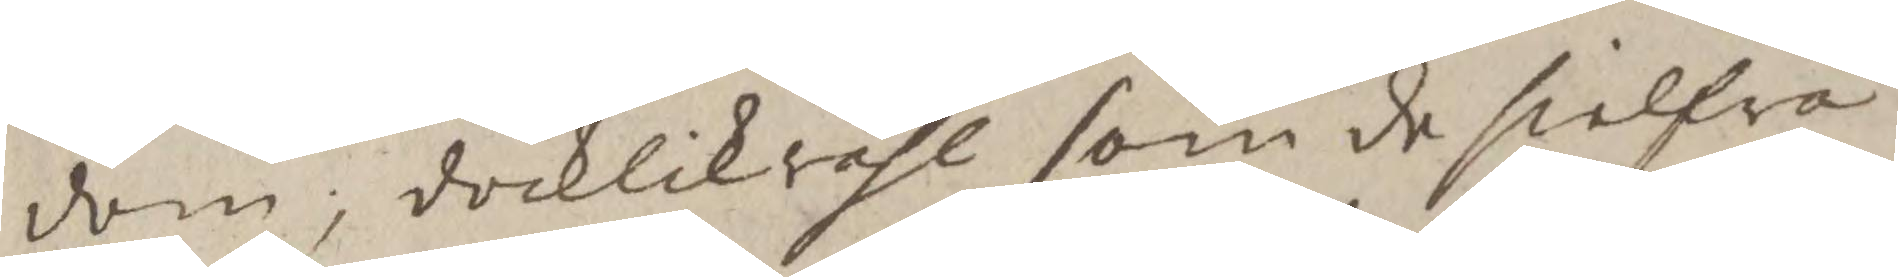dom; dochlikvähl som de sielfva
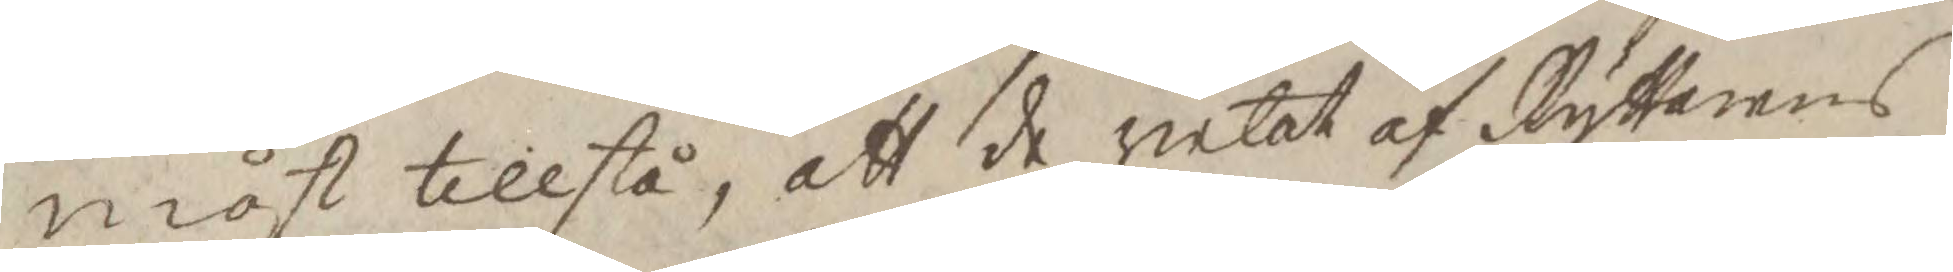måst tillstå, att de velat af Ryttarens
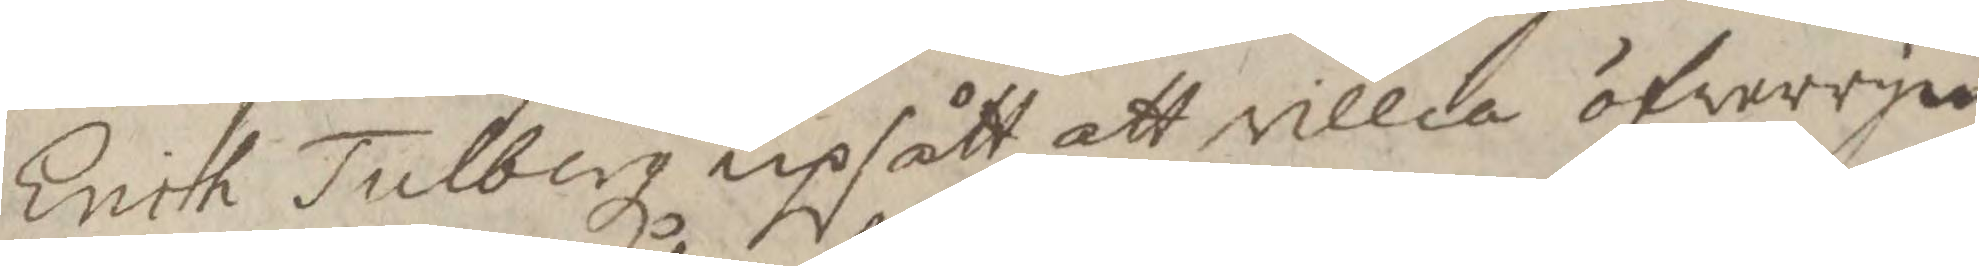Erich Tulberg upsått att villia öfverrym¬
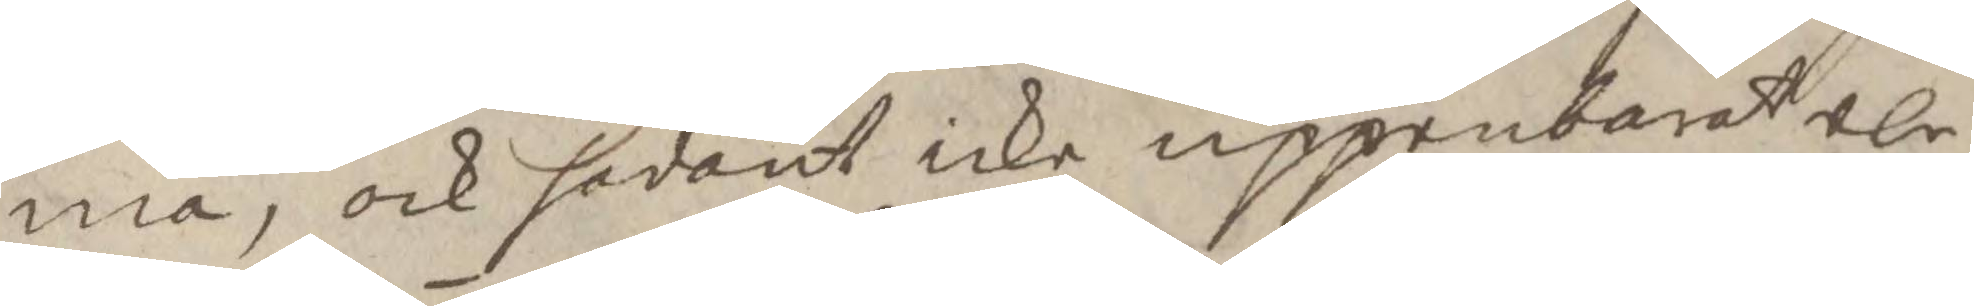ma, ock sådant icke uppenbarat elr
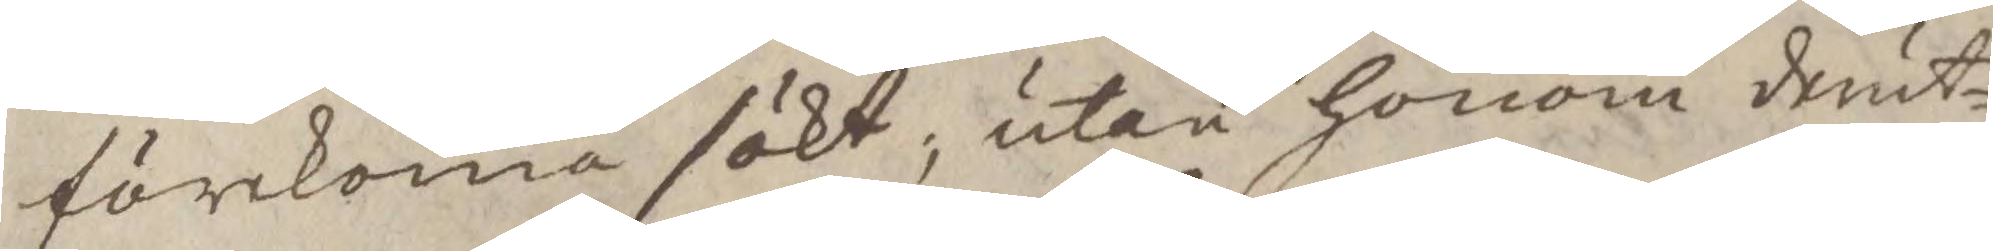förekoma sökt; utan honom derut¬
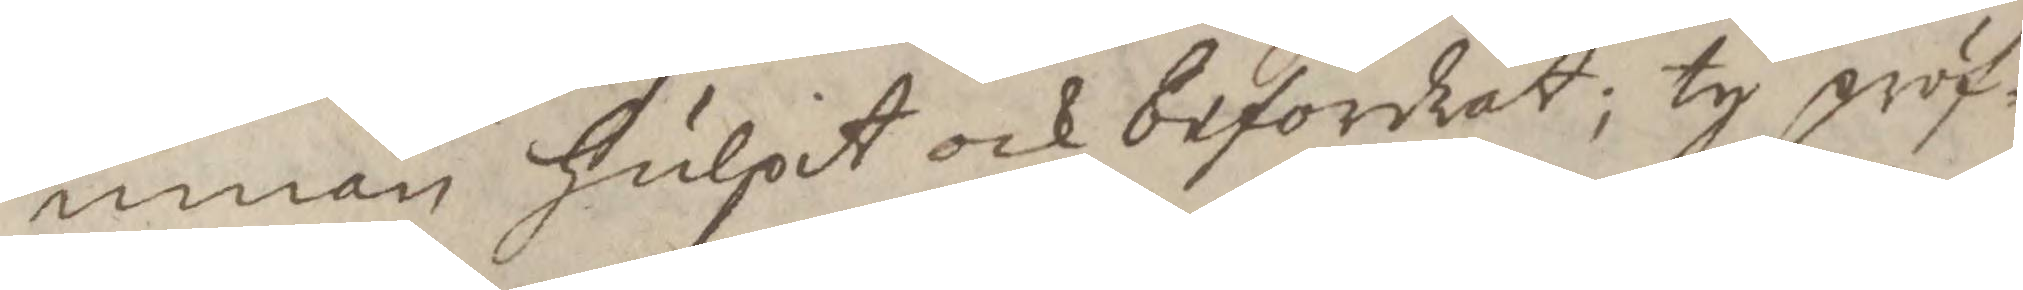innan hulpit och befordrat; ty pröf¬
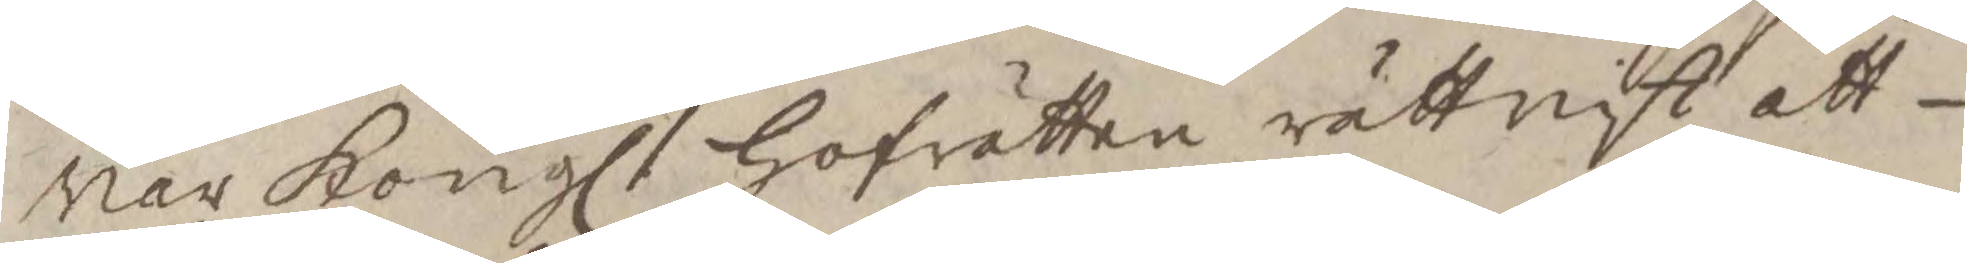var Kongl Hofrätten rättviste att
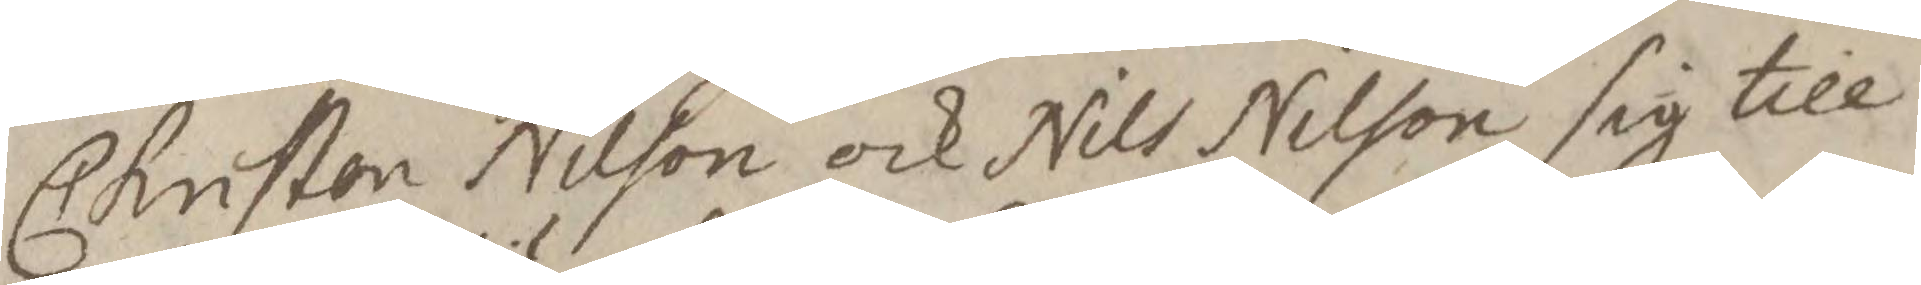Christen Nilson och Nils Nilson sig till
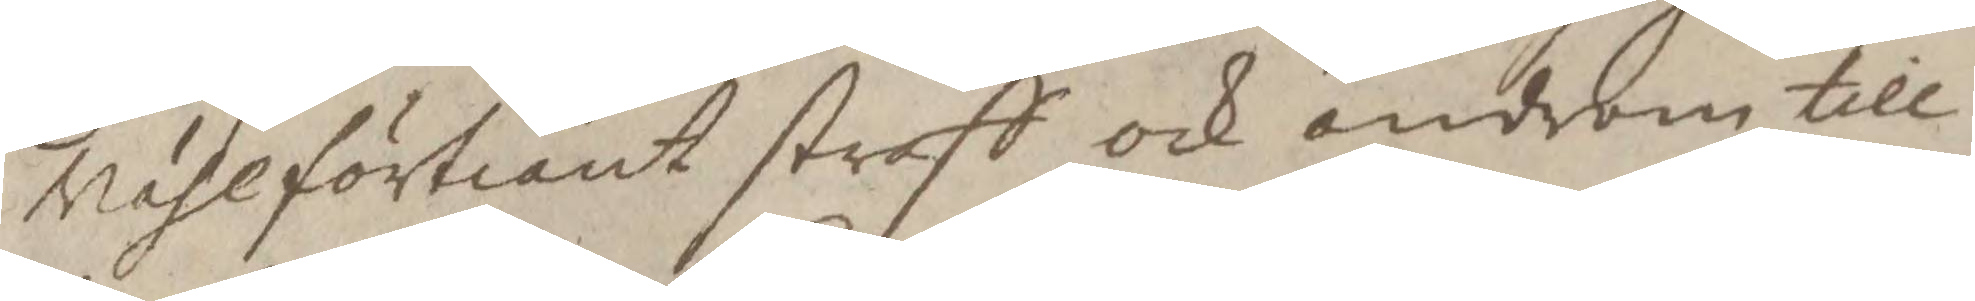vählförtiänt straff och androm till
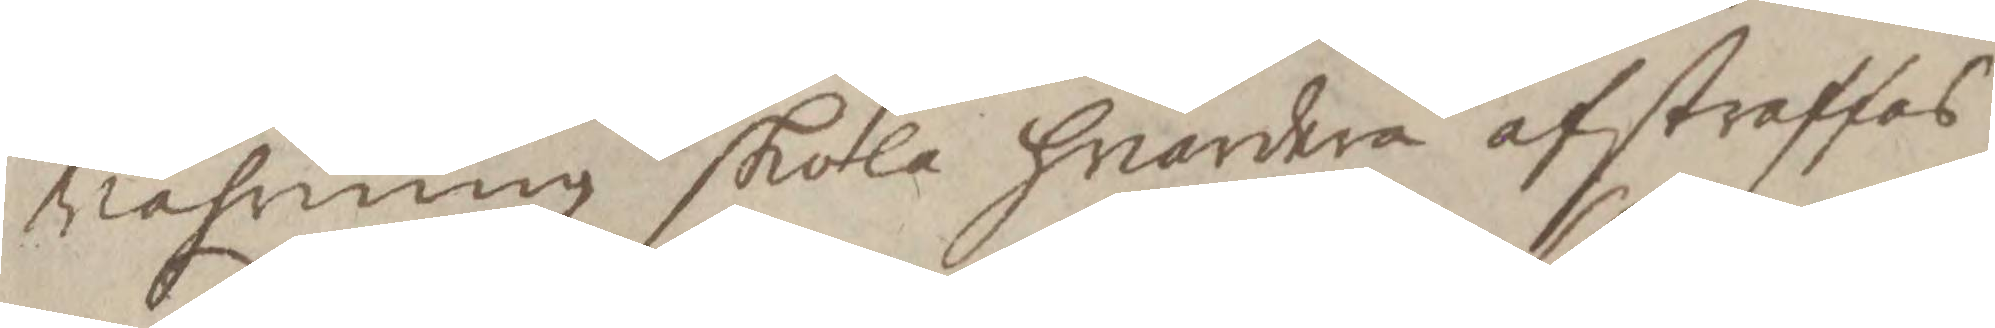vahrning skola hvardera afstraffas
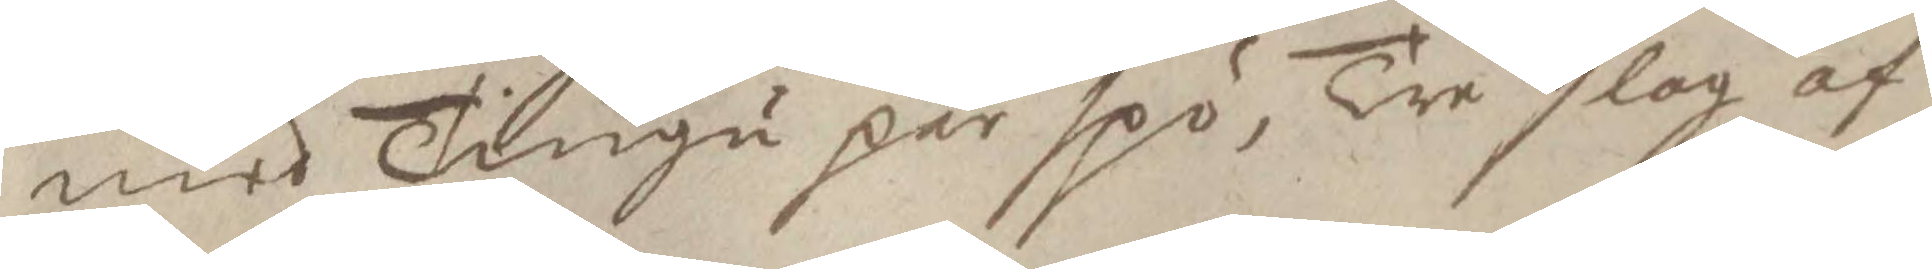med Tiugu par spö, Tre slag af
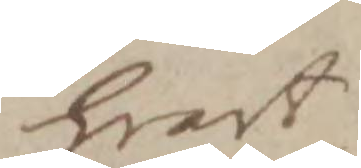hvart
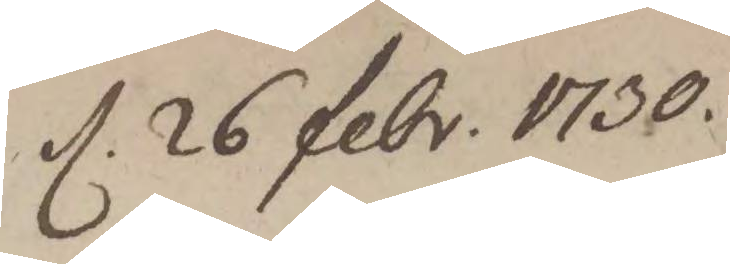d. 26 febr. 1730.
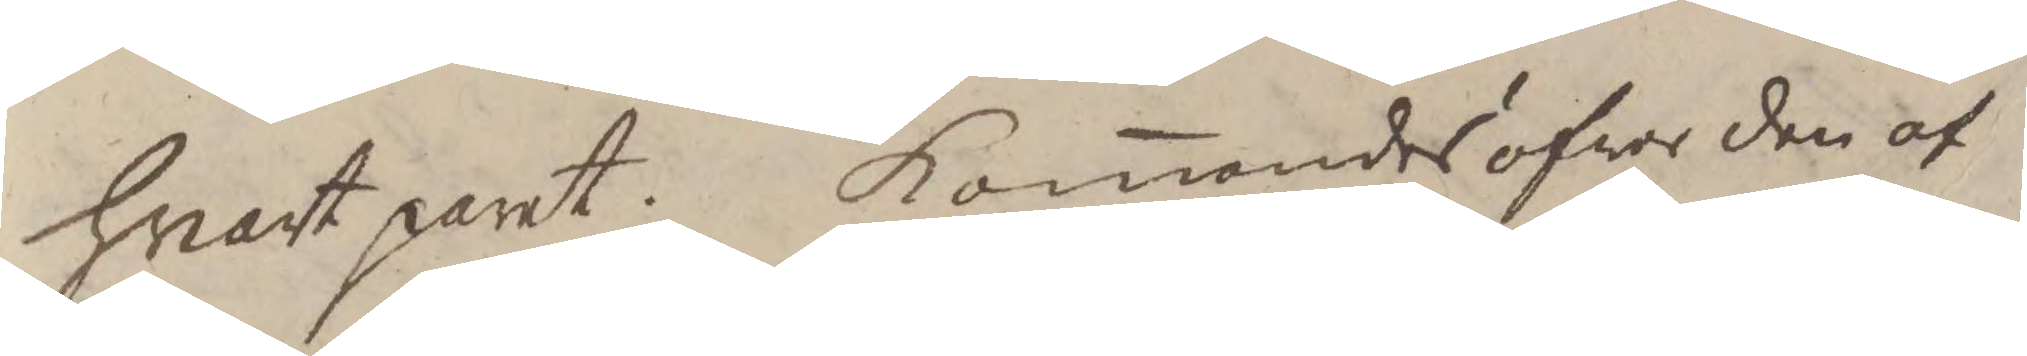hvart paret. komanes öfver den af
